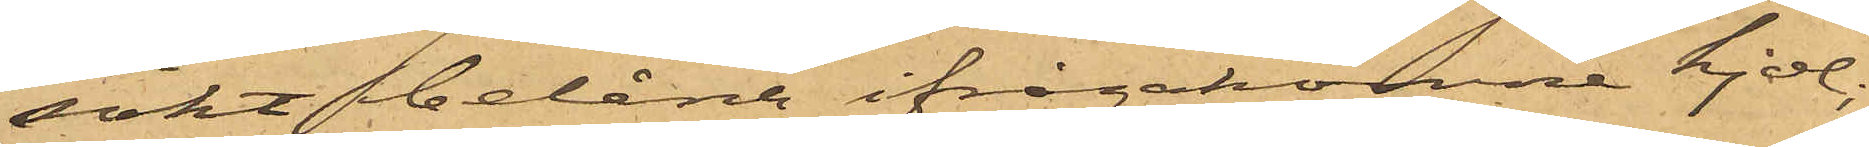sökt belåna ifrågakomne kjol,
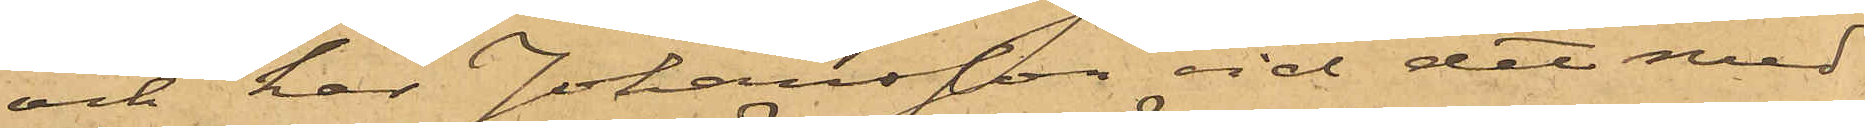och har Johansson vid det med
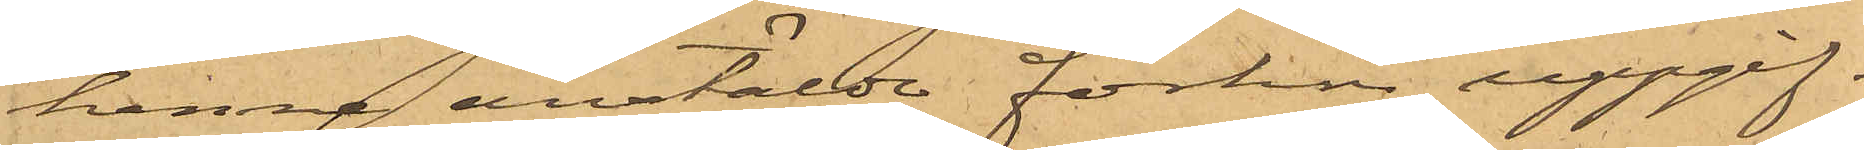henne anstälda förhör uppgif¬
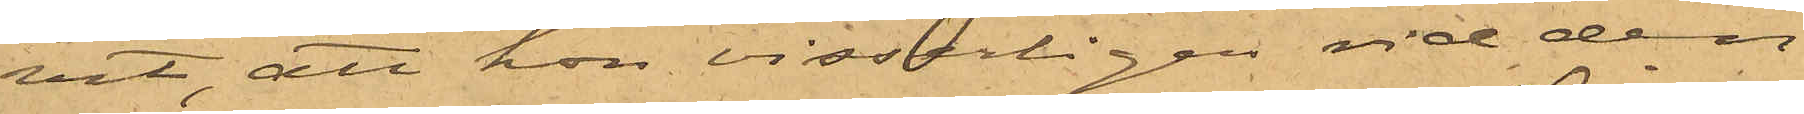vit, att hon visserligen vid den
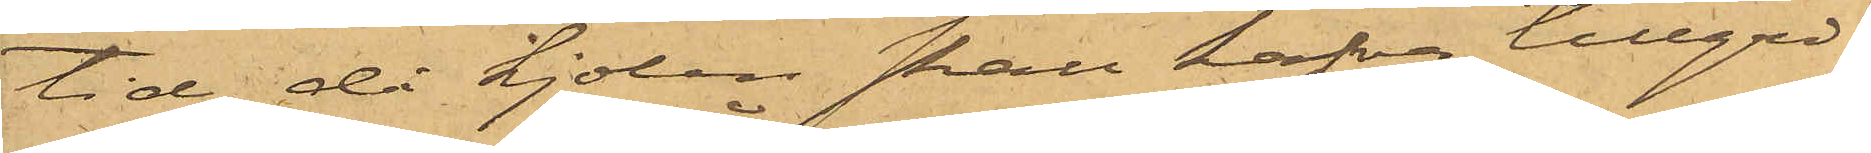tid, då kjolen skall hafva tillgri¬
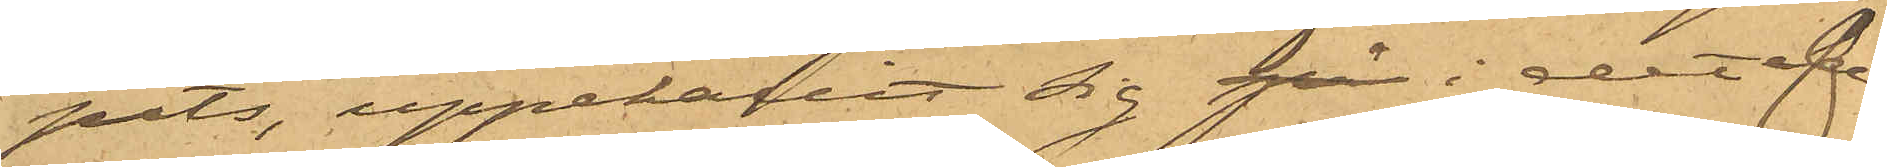pits, uppehållit sig på i det af
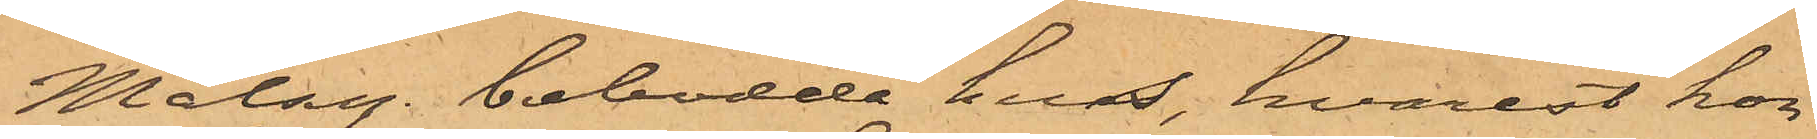Målseg. bebodda hus, hvarest hon
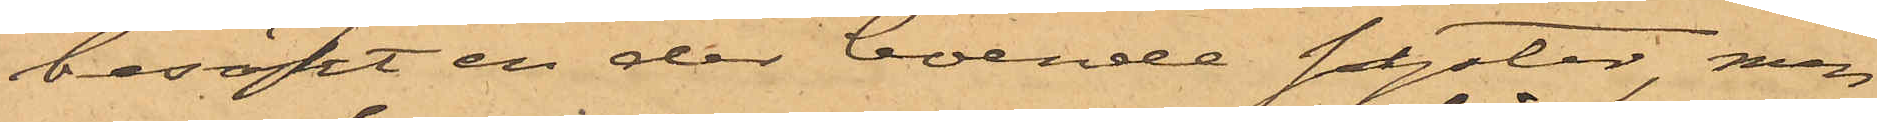besökt en der boende syster, men
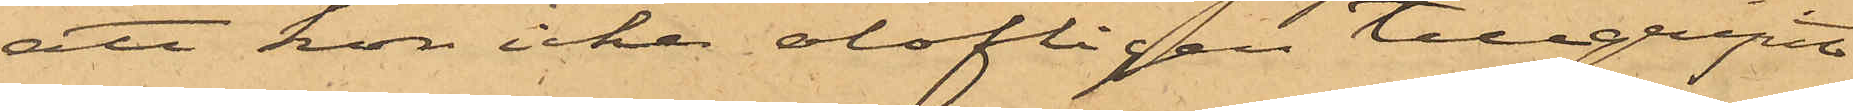att hon icke olofligen tillgripit
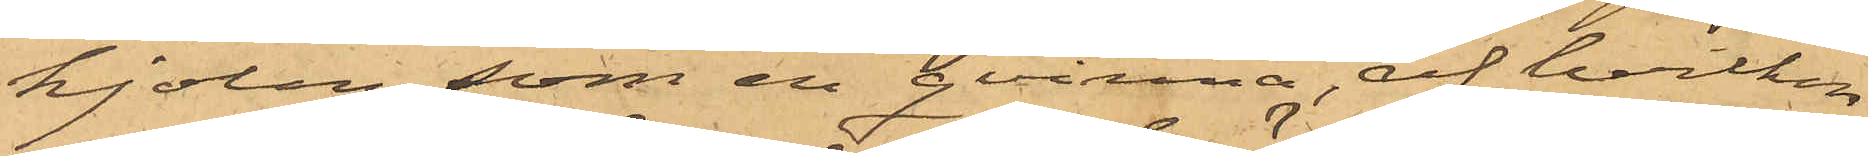kjolen, som en qvinna, af hvilken
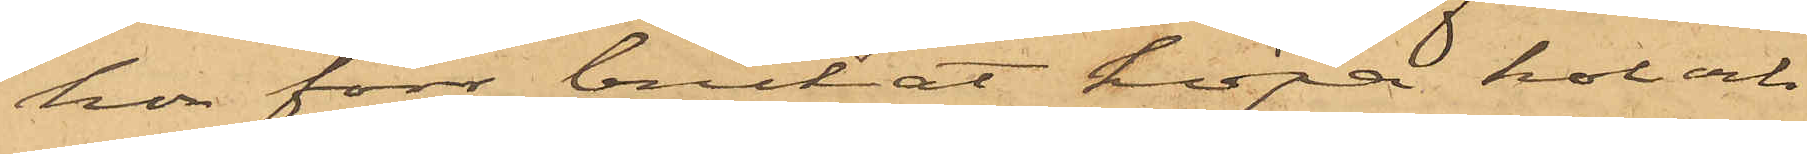hon förr brukat köpa kol och
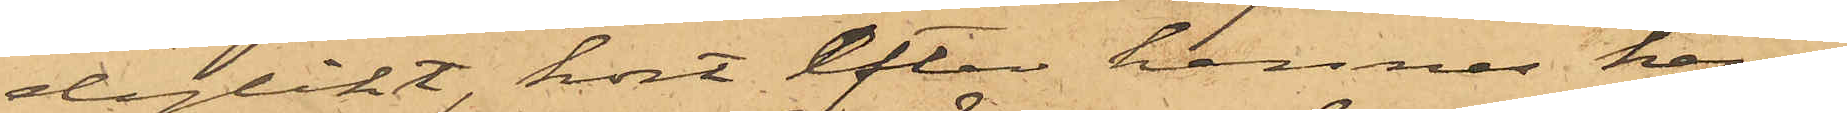dylikt, kort efter hennes hem¬
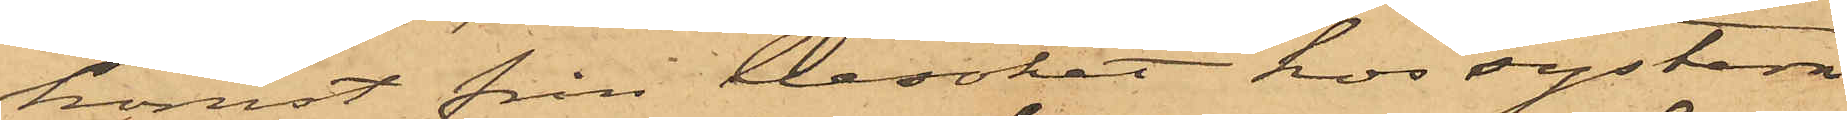komst från besöket hos systern
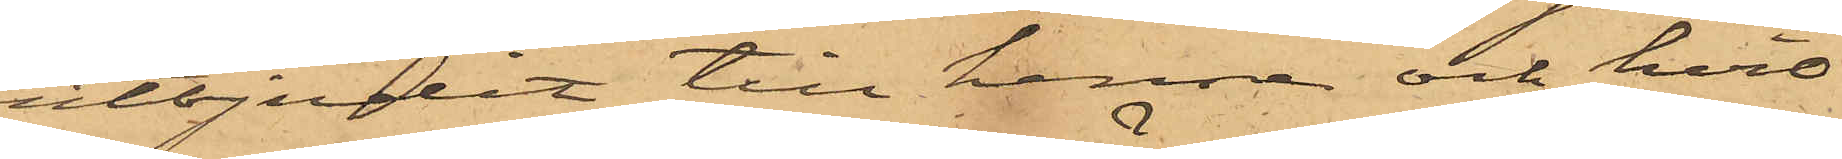utbjudit till henne och hvil¬
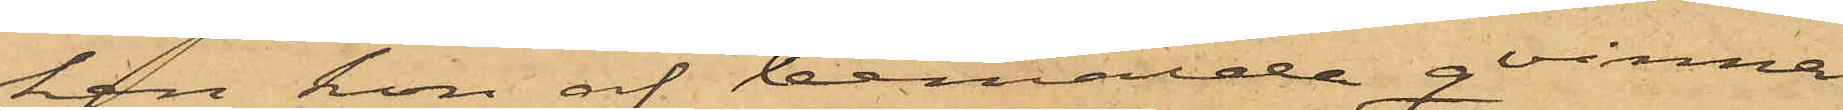ken hon af bemälde qvinna
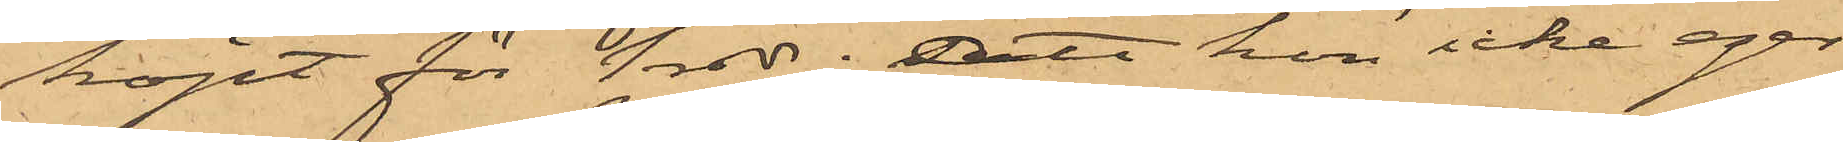köpt för 1 rdr; att hon icke eger
